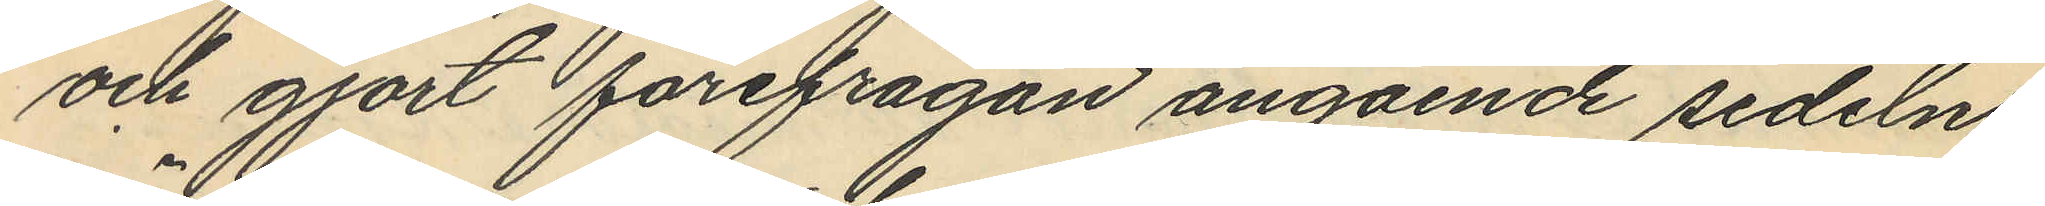och gjort förefrågan angående sedelns
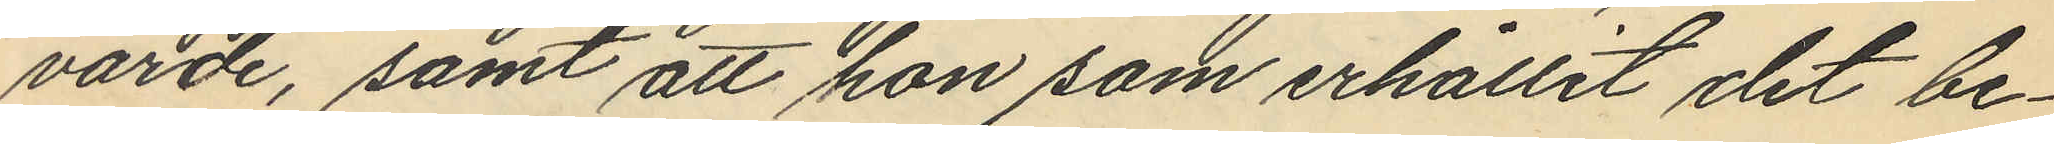värde, samt att hon som erhållit det be¬
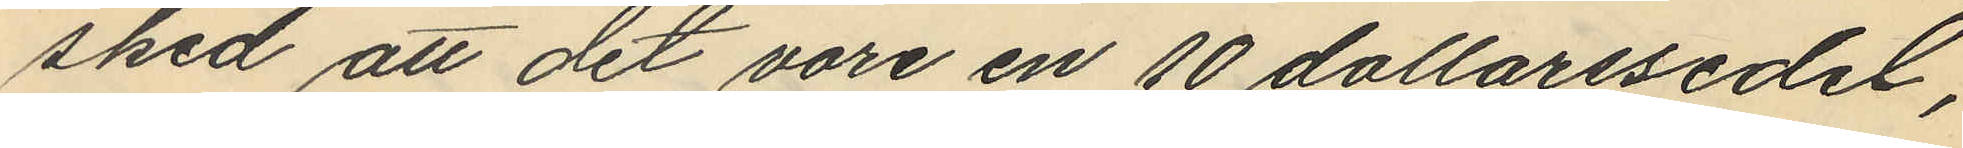sked att det vore en 10 dollarssedel,
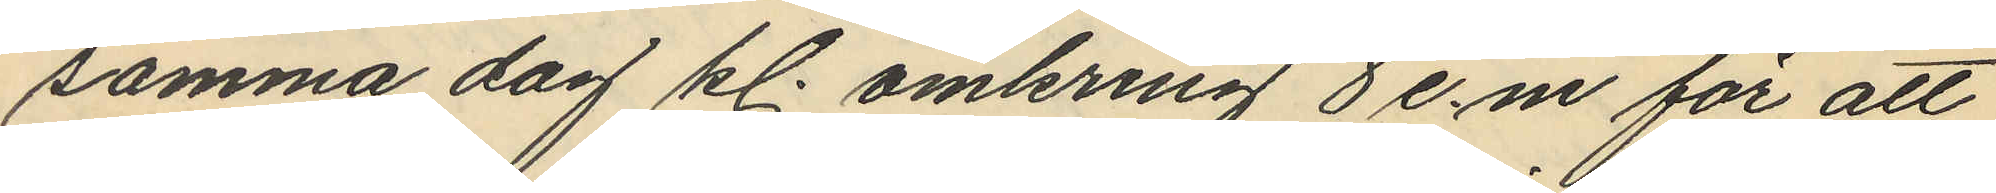samma dag kl. omkring 8 e.m för att
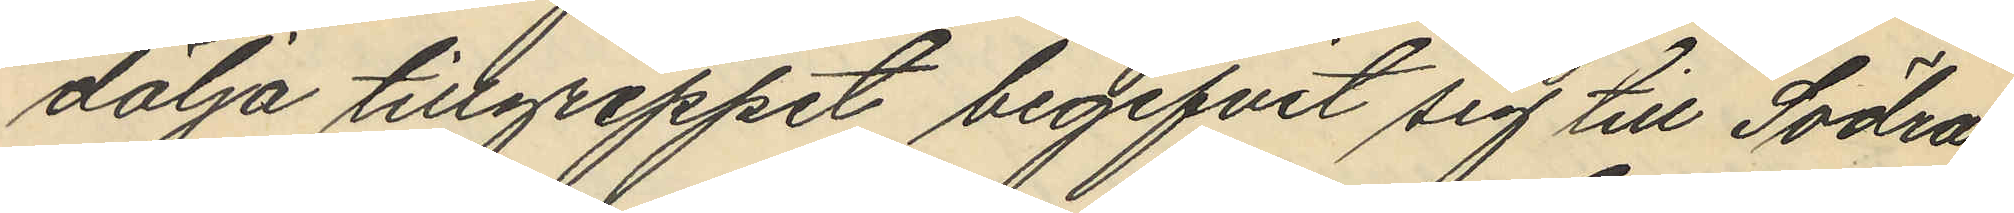dölja tillgreppet begifvit sig till Södra
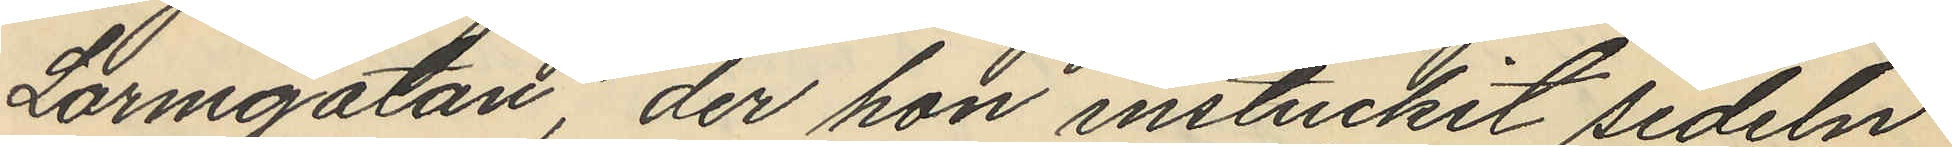Larmgatan, der hon instuckit sedeln
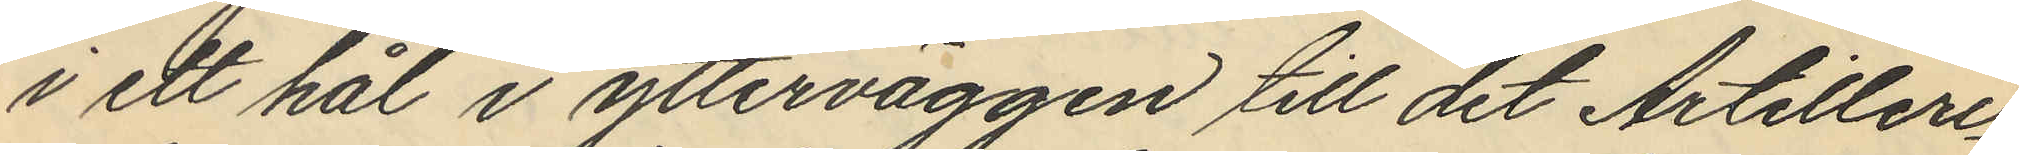i ett hål i ytterväggen till det Artilleri¬
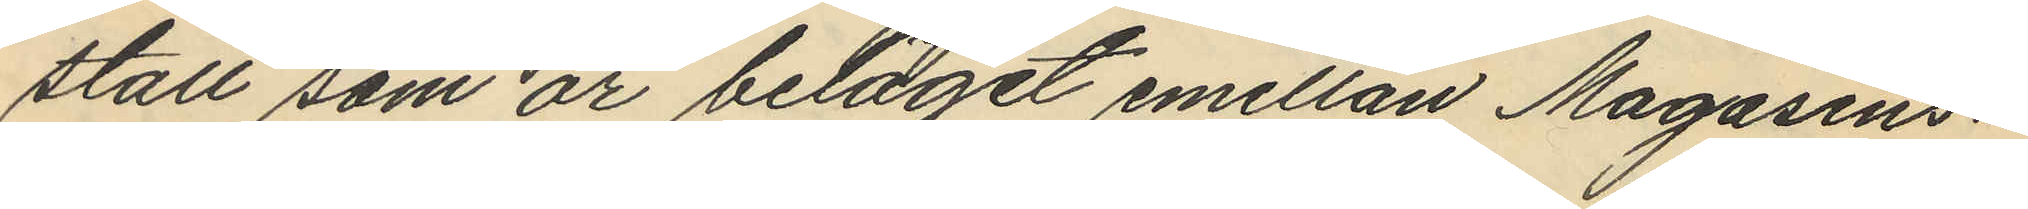stall som är beläget emellan Magasins¬
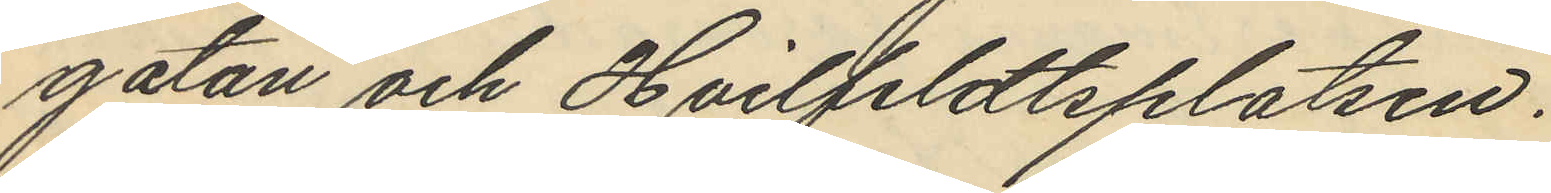gatan och Hvilfeldtsplatsen.
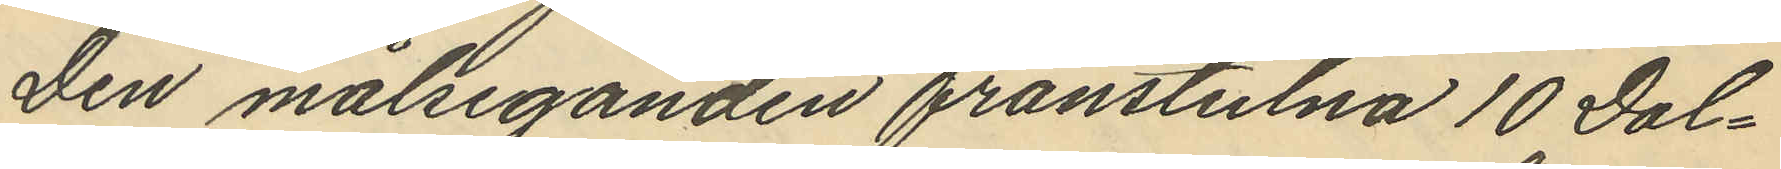Den målseganden frånstulna 10 Dol¬
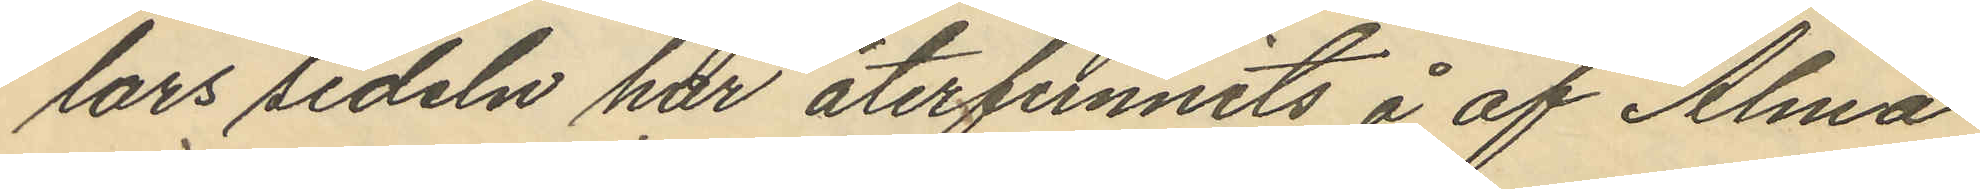lars sedeln har återfunnits å af Alma
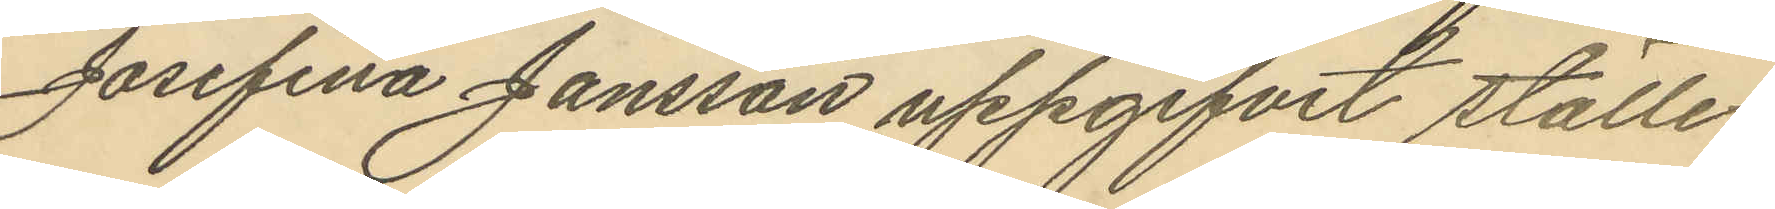Josefina Jansson uppgifvit ställe.
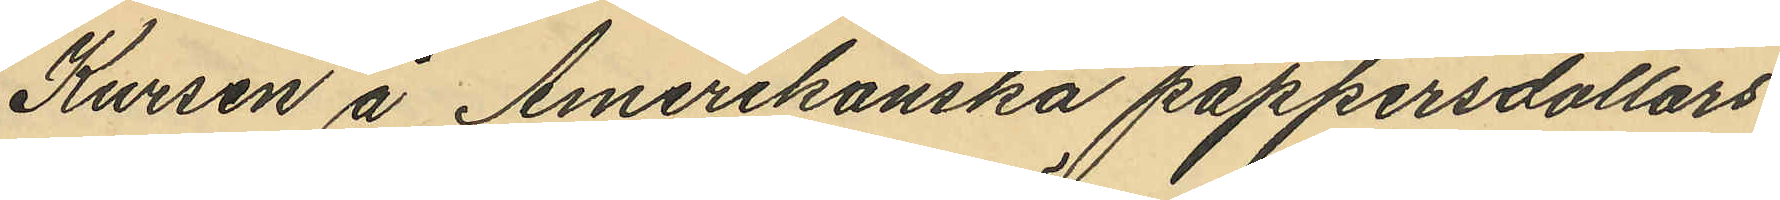Kursen å Amerikanska pappersdollars
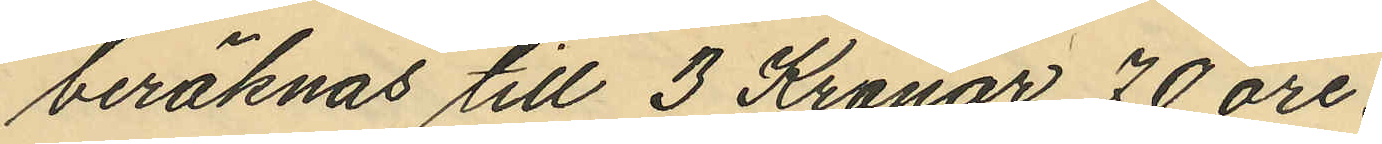beräknas till 3 Kronor 70 öre.
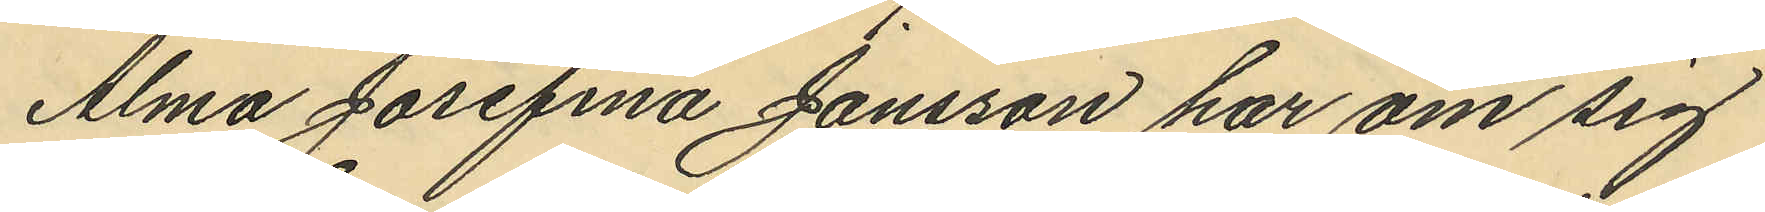Alma Josefina Jansson har om sig
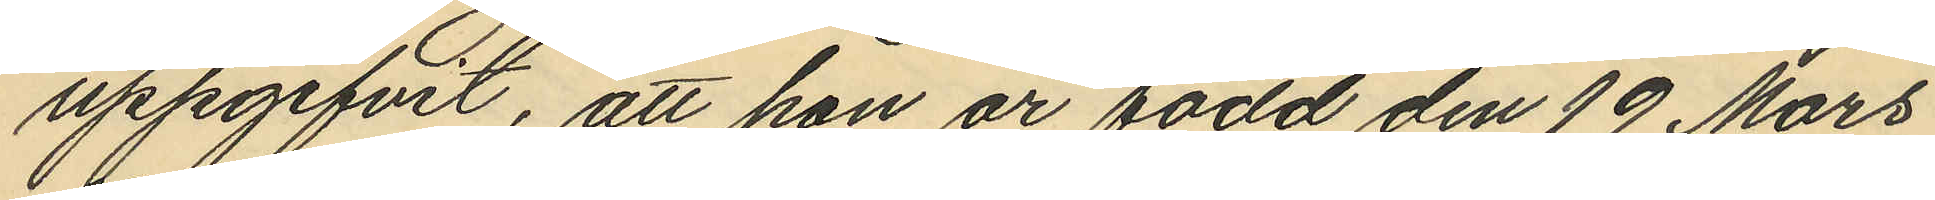uppgifvit, att hon är född den 19 Mars
